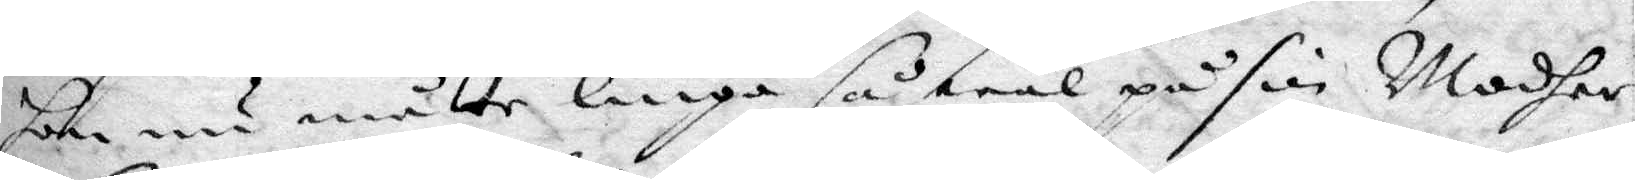hon nu måtte liuga så wäl på sin Modher
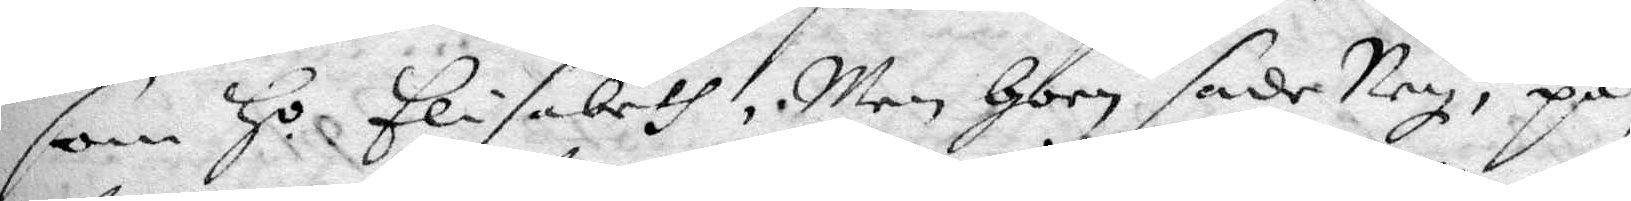som H.o Elisabeth, Men hon sade Ney, på¬ 
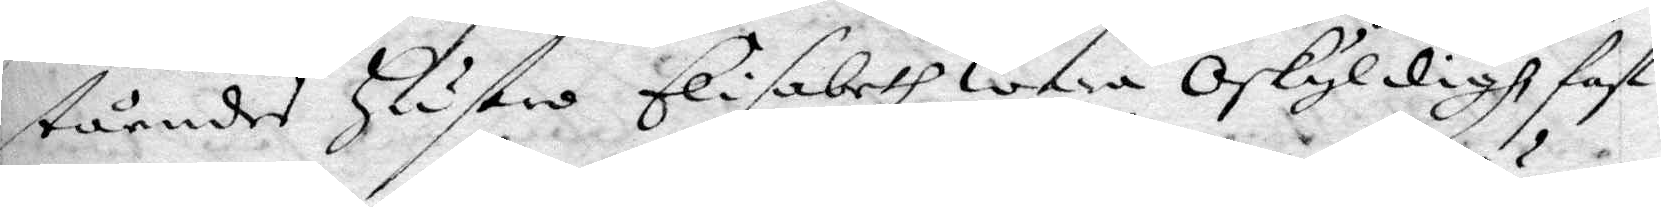ståendes hustro Elisabeth wara oskyldigh fast
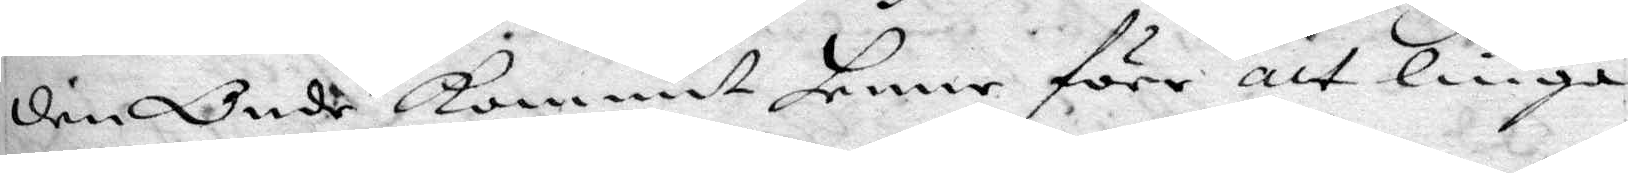den Onde kommit henne före att liuga
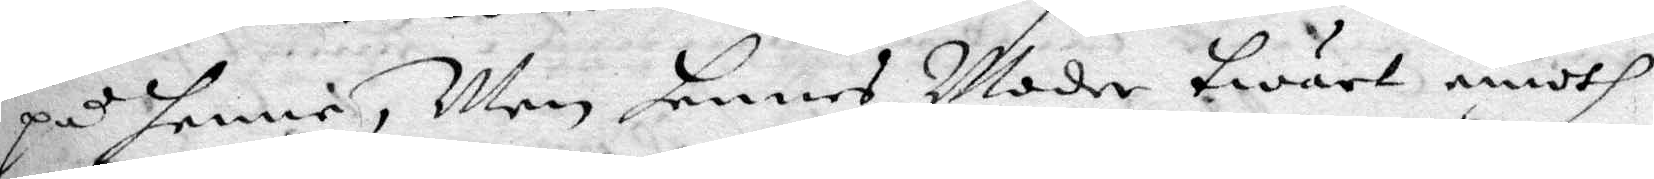på henne, Men hennes Moder twärt emoth
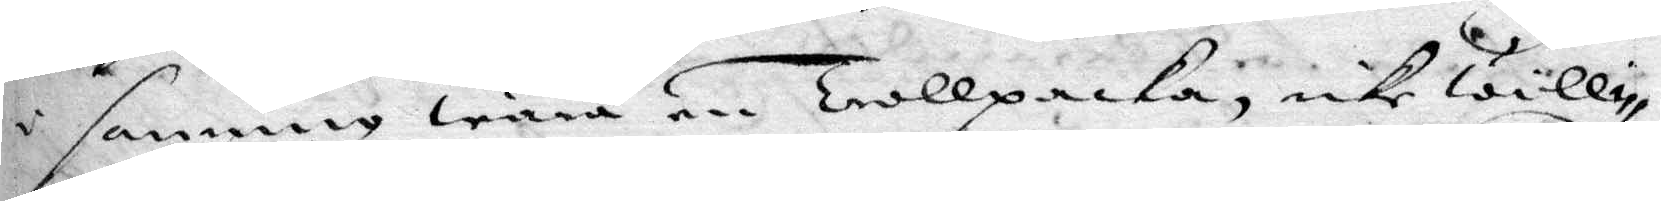i sanning wara en Trollpacka, icke willi¬
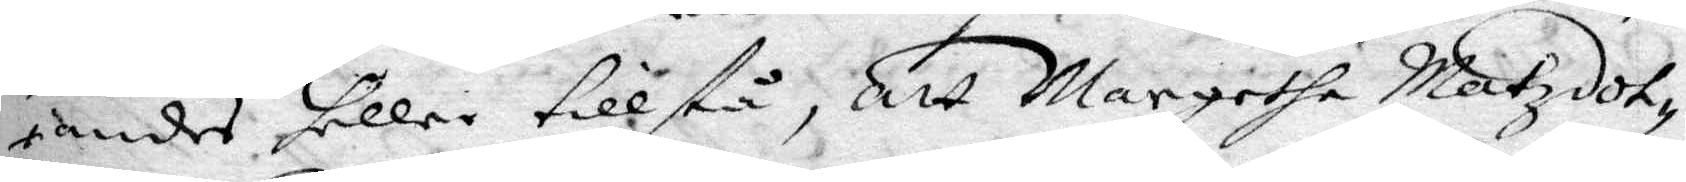andes heller tillstå, att Margetha Matzdot¬
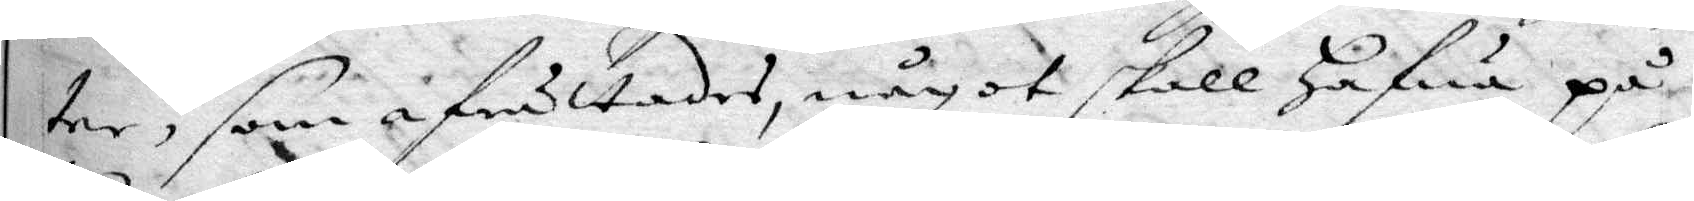ter, som afrättades, något skall hafwa på 
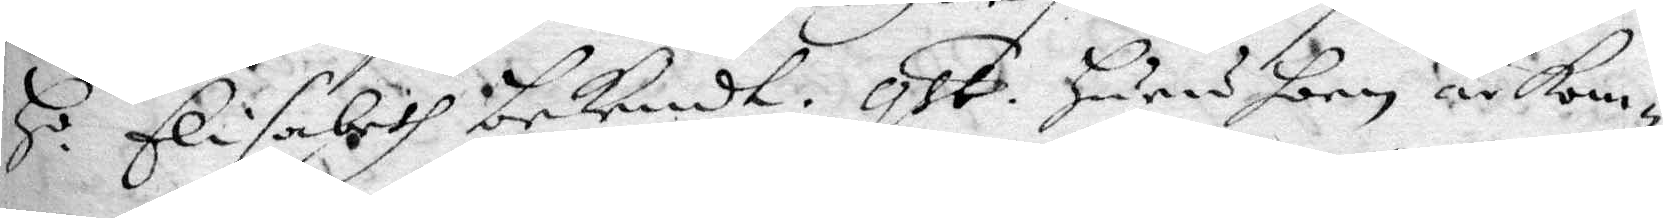H.o Elisabet bekendt. qst. huru hon är kom¬ 
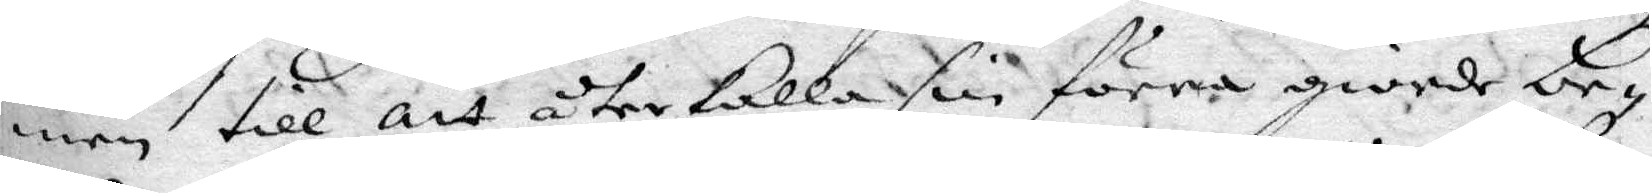men till att återkalla sin förra giorde be¬
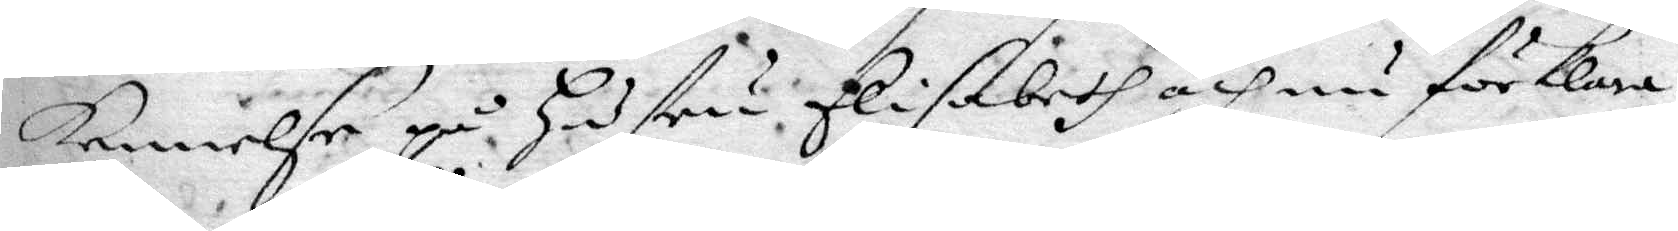kennelse på hustru Elisabeth och nu förklara
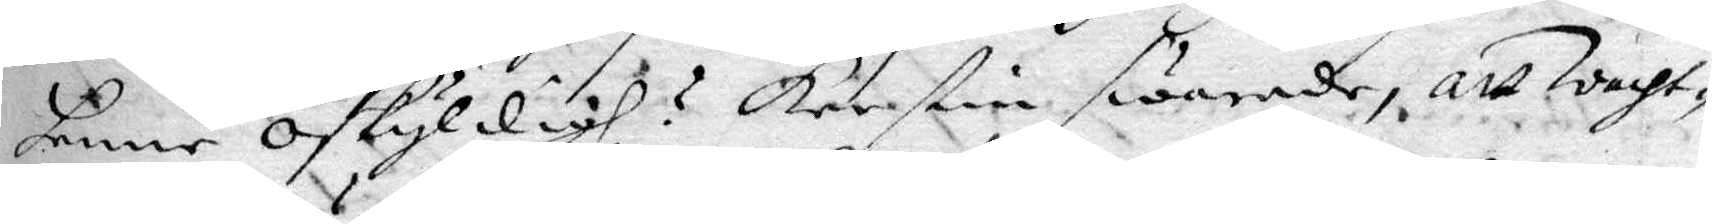henne oskyldigh? Kerstin swarade, att wacht¬
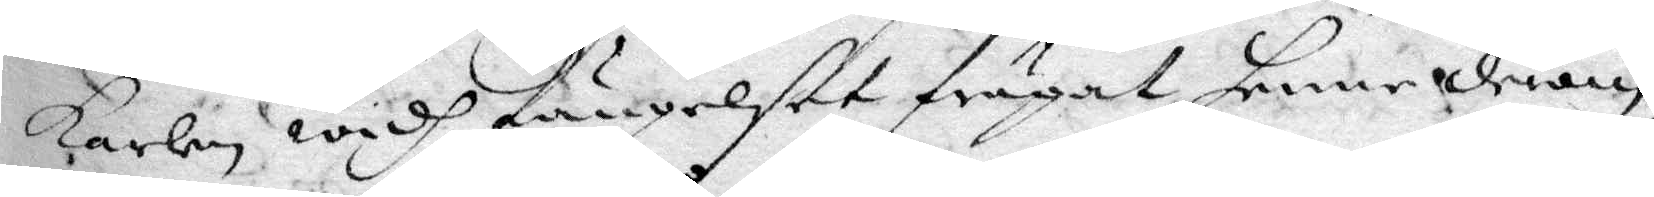karlen widh fängelset frågat henne derom
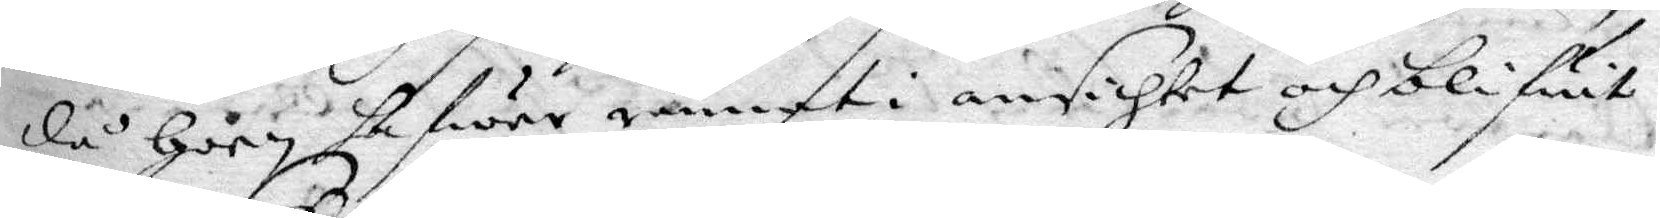då hoon hafwer ånnat i ansichtet och blifwit
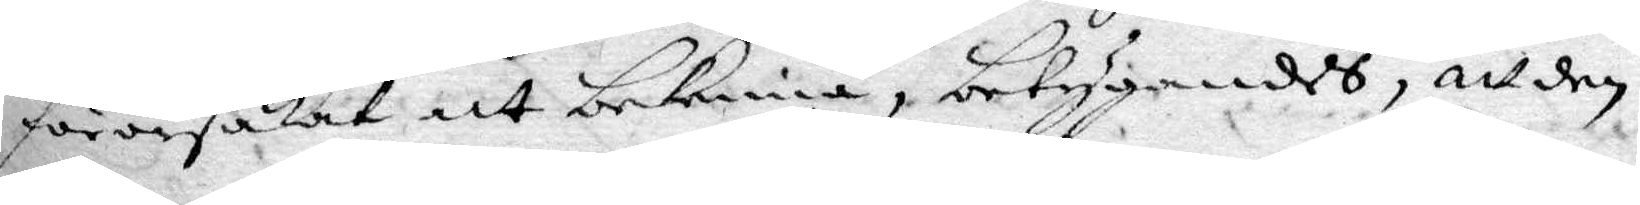förorsakat att bekenna, betygandes, att den
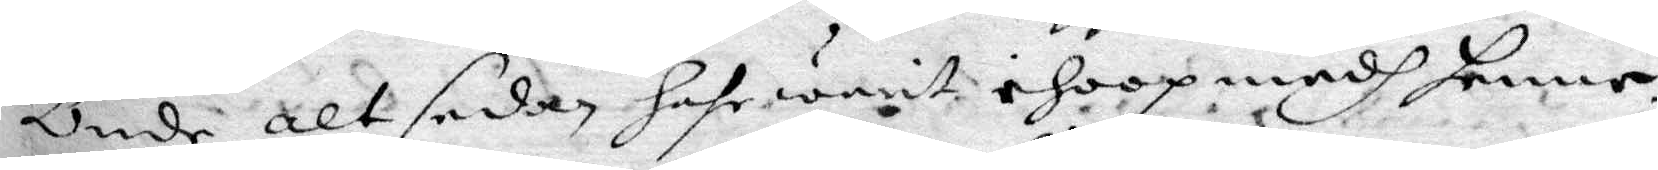Onde alt sedan har warit ihoop medh henne.
